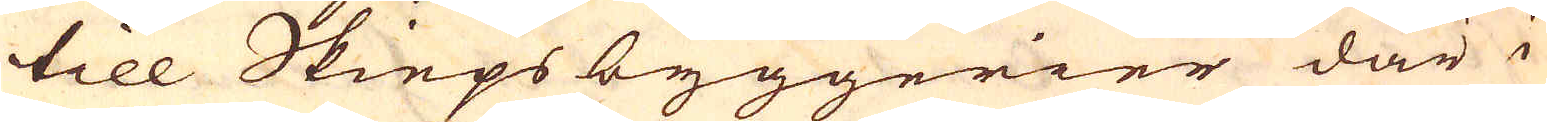till Skiepsbyggerier där i
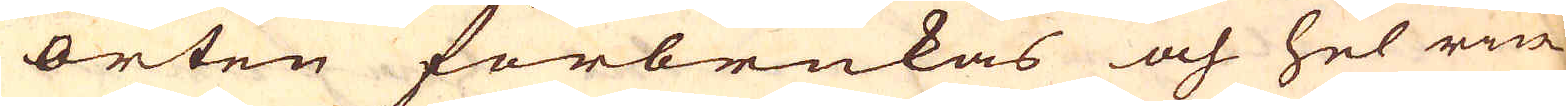orten förbrukas och hel rin-
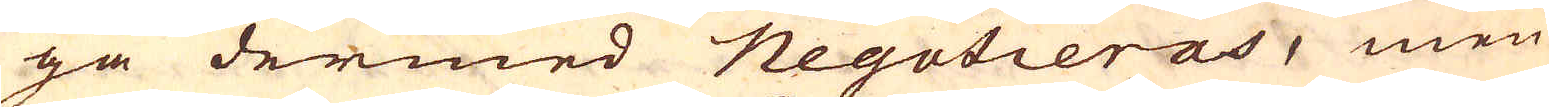ga dermed negotieras, men
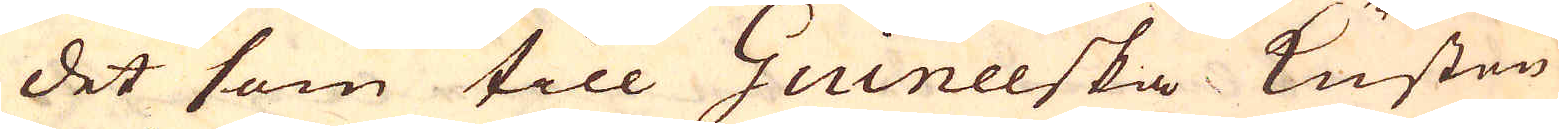det som till Guineeska Kusten
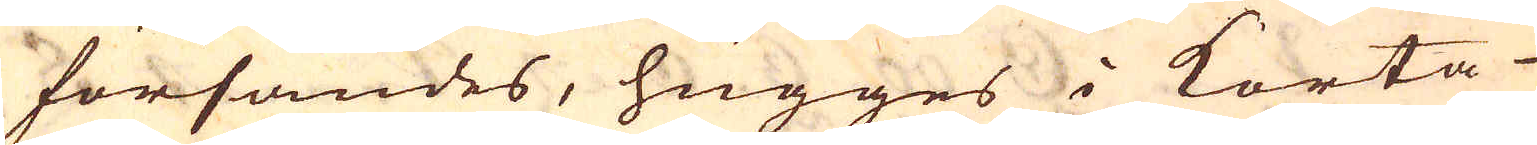försändes, hugges i korta
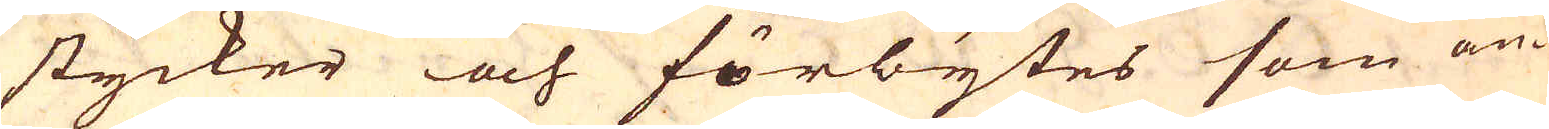stycker och förbytes som an-
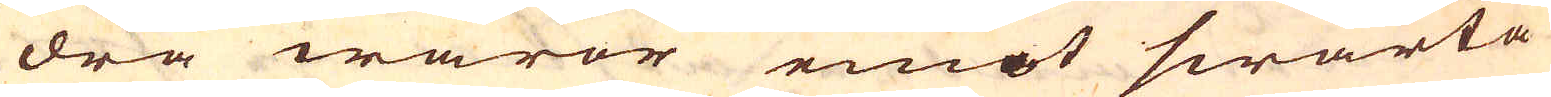dra waror emot swarta
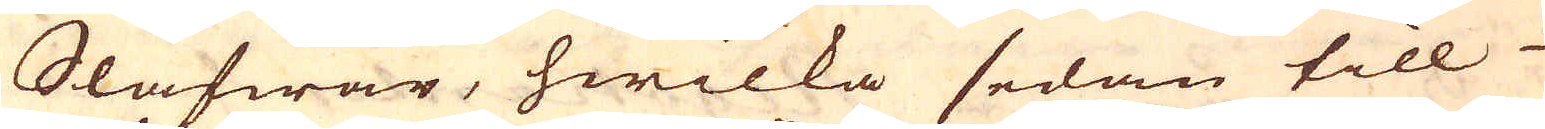Slafwar, hwilka sedan till
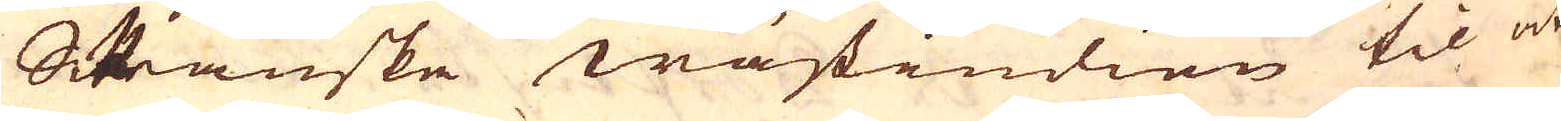Spanske Wästindien til at
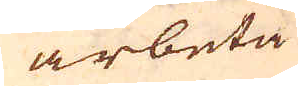arbeta
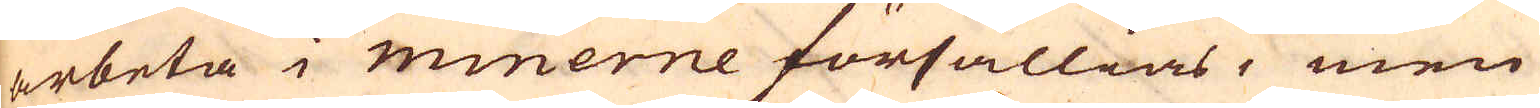arbeta i minerne försällias, men
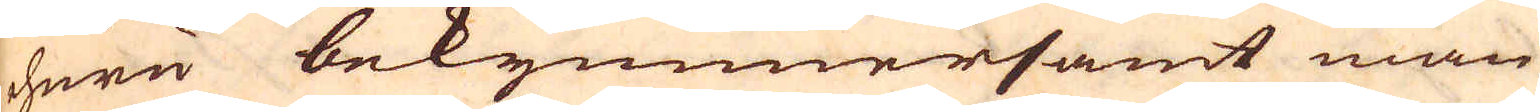ehuru bekymmersamt man
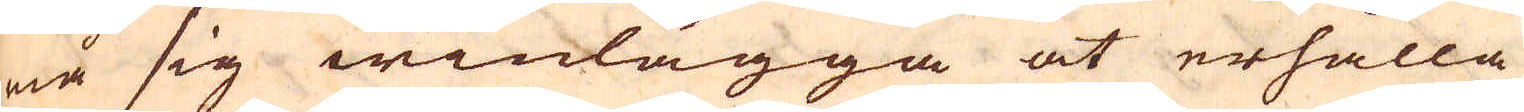må sig winlägga at erhålla
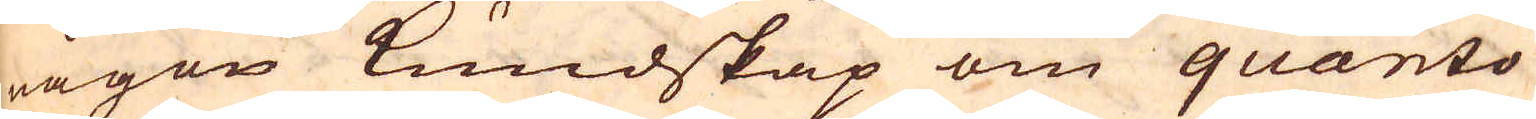någon Kundskap om quanto
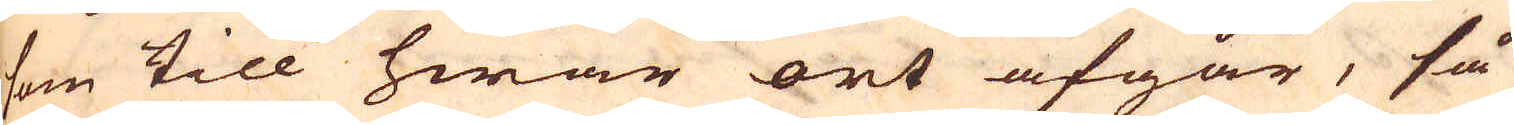som till hwar ort afgår, så
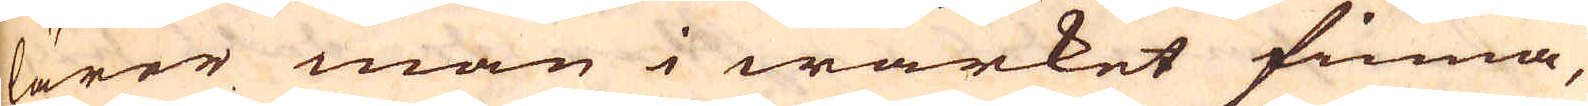lärer man i wärket finna,
